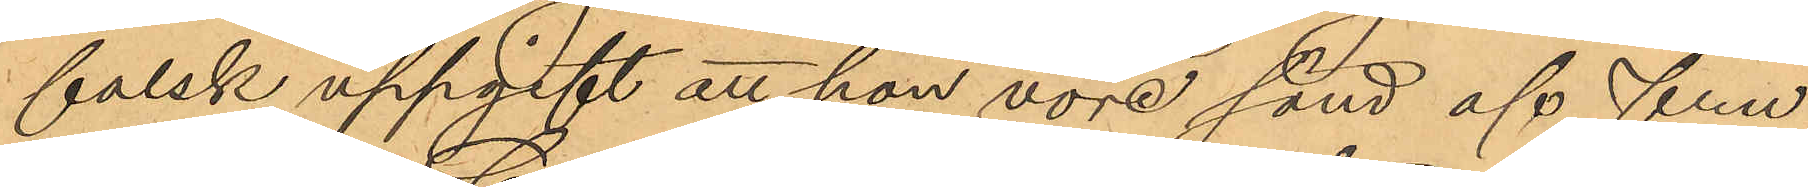falsk uppgift att hon vore sänd af fru
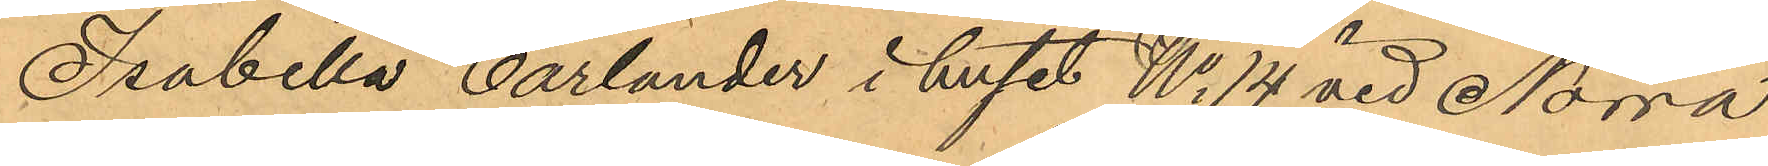Isabella Carlander i huset No 14 vid Norra
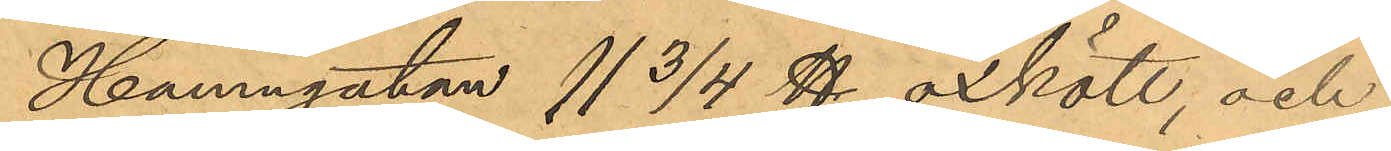Hamngatan 11 3/4 ℔ oxkött, och
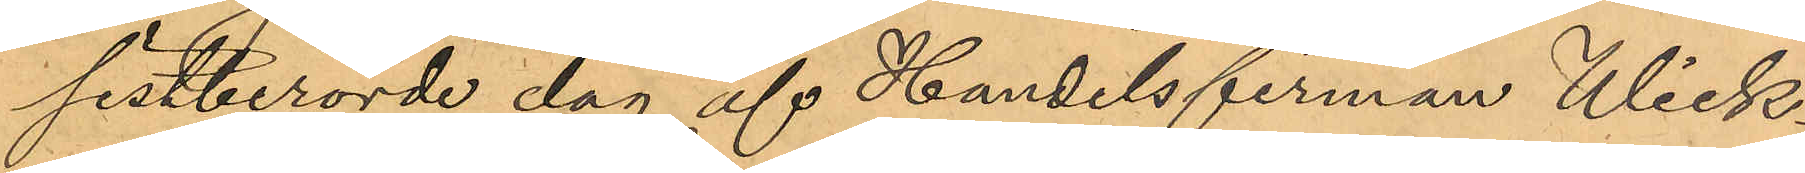sistberörde dag af Handelsfirman Wick¬
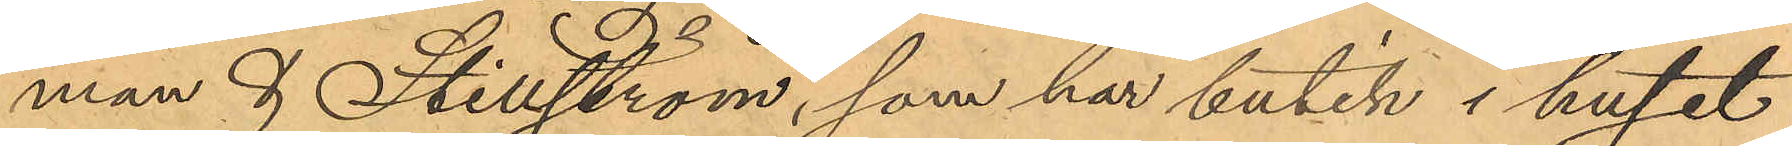man & Stillström, som har butik i huset
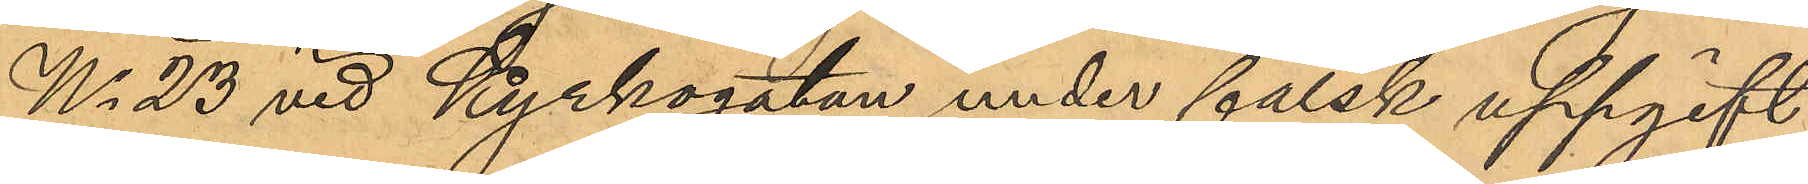No 23 vid Kyrkogatan under falsk uppgift
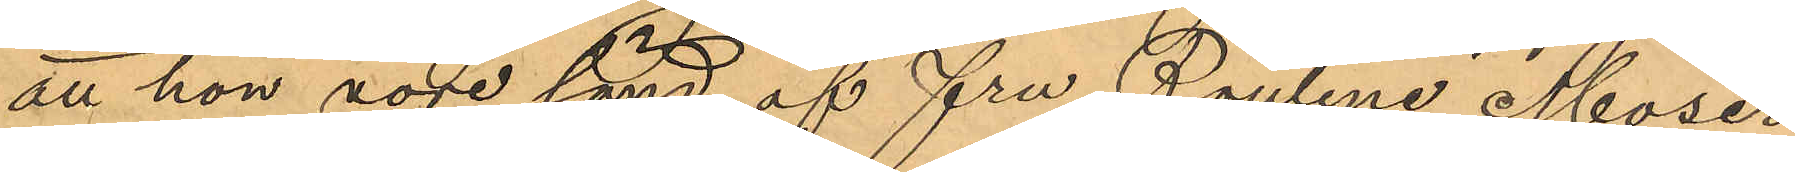att hon vore sänd af fru Pauline Moser
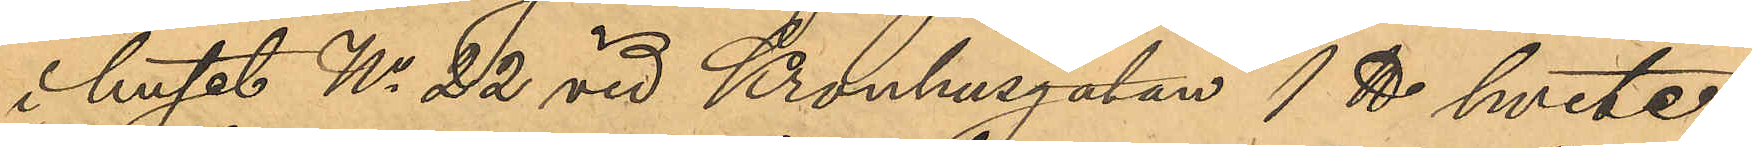i huset No 22 vid Kronhusgatan 1 ℔ hvete¬
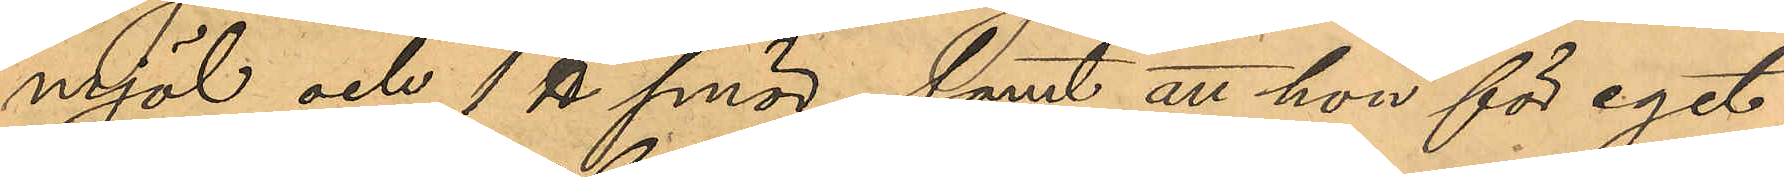mjöl och 1 ℔ smör; samt att hon för eget
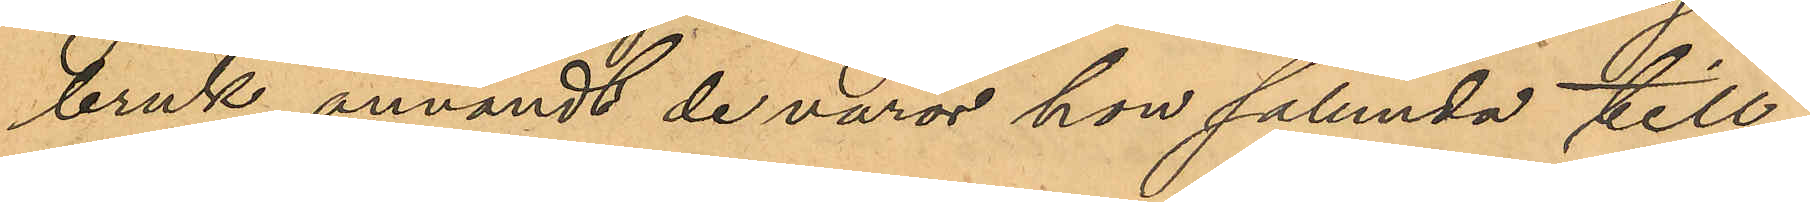bruk användt de varor hon sålunda till¬
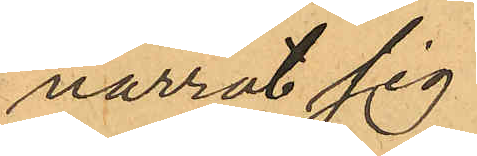narrat sig.
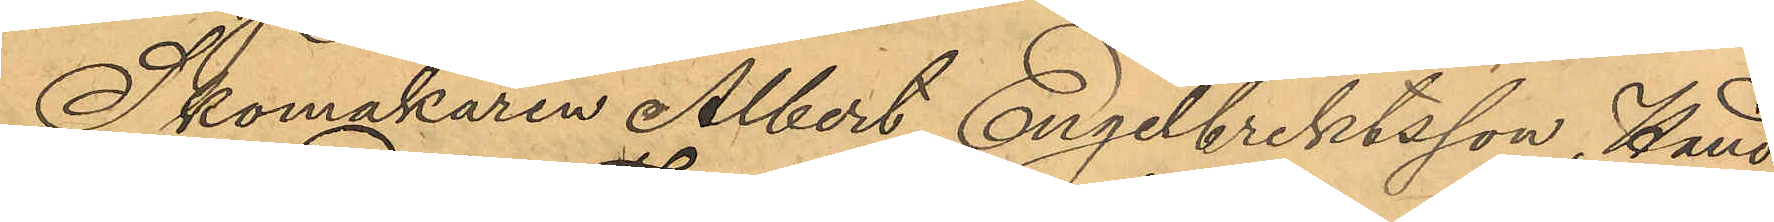Skomakaren Albert Engelbrektsson, Hand¬
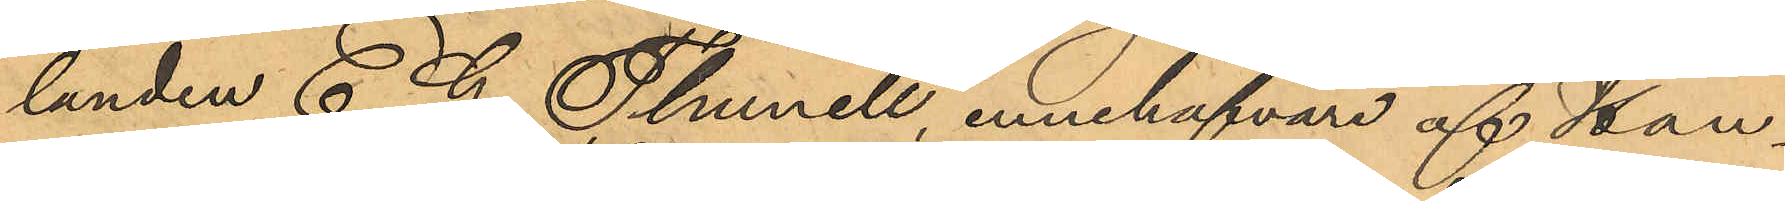landen C. G Thunell, innehafvare af Han¬
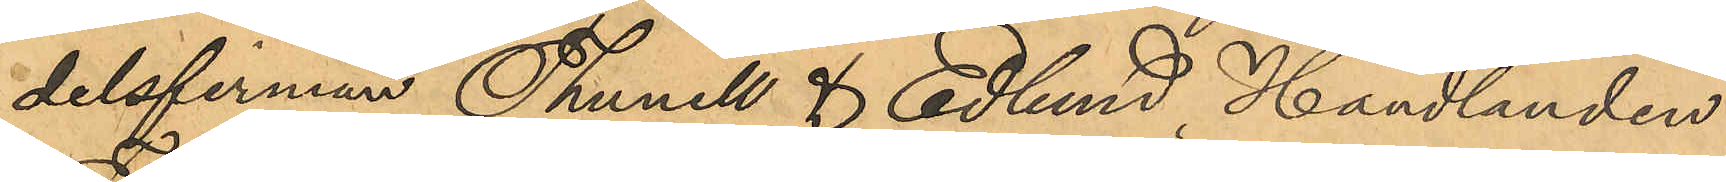delsfirman Thunell & Edlund, Handlanden
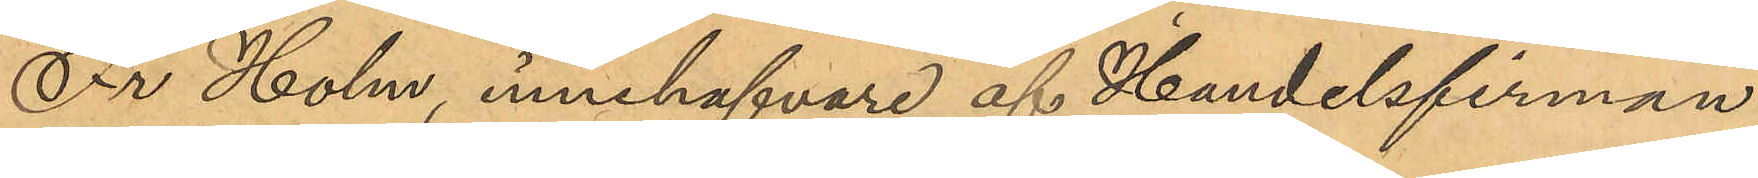Fr Holm, innehafvare af Handelsfirman
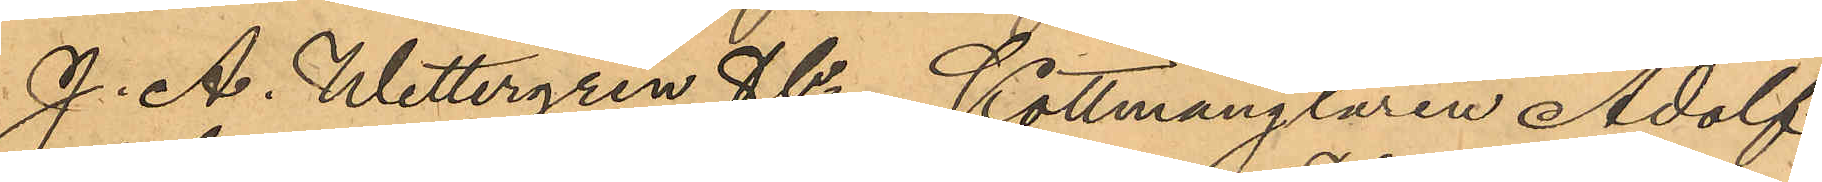J. A. Wettergren & Co, Köttmånglaren Adolf
